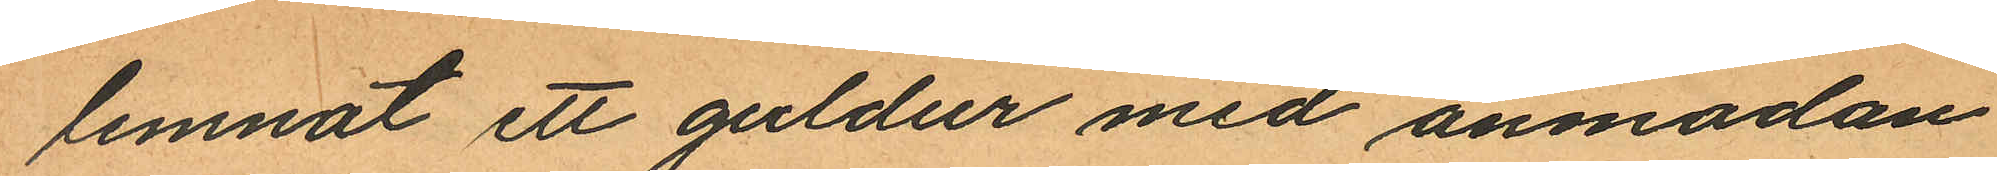lemnat ett guldur med anmodan
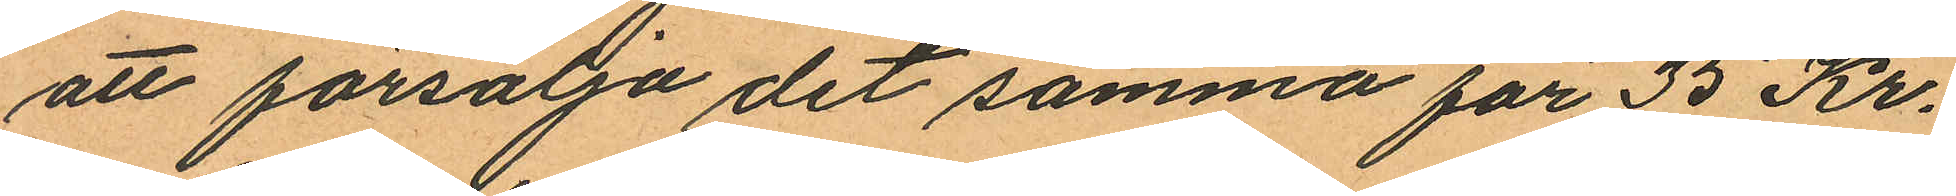att försälja det samma för 35 Kr.
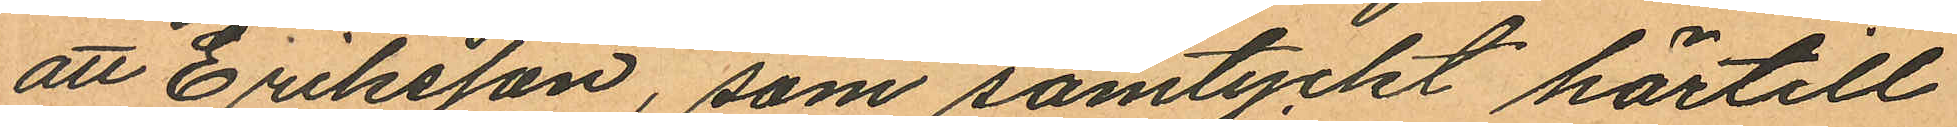att Eriksson, som samtyckt härtill
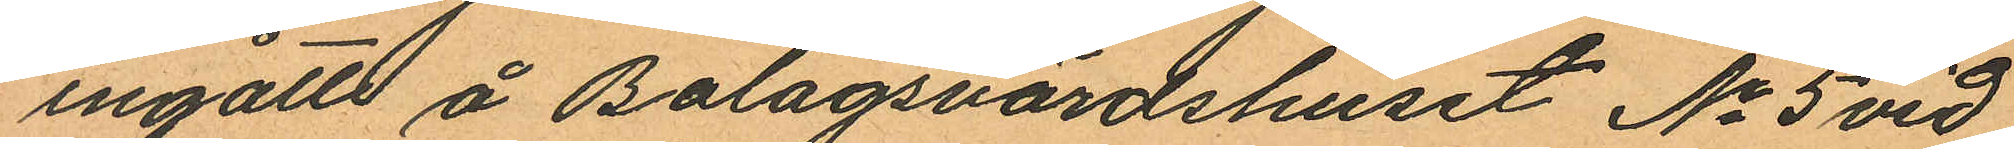ingått å Bolagsvärdshuset No 5 vid
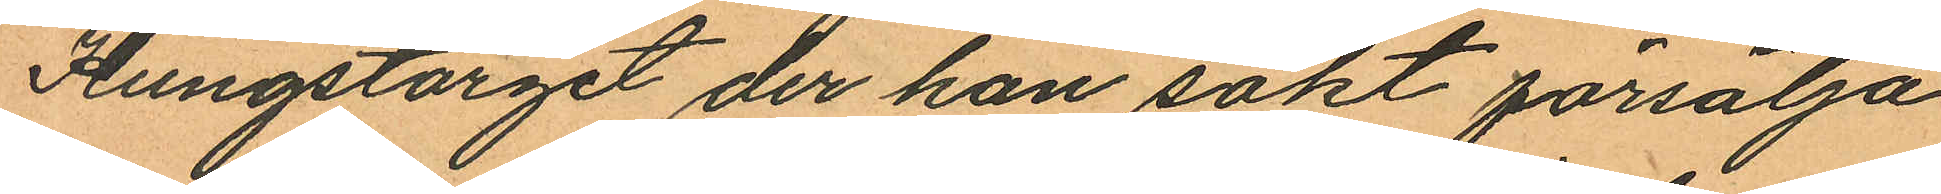Kungstorget der han sökt försälja
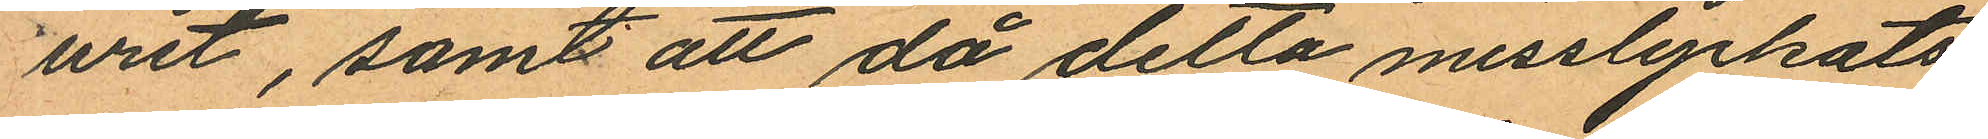uret, samt att då detta misslyckats
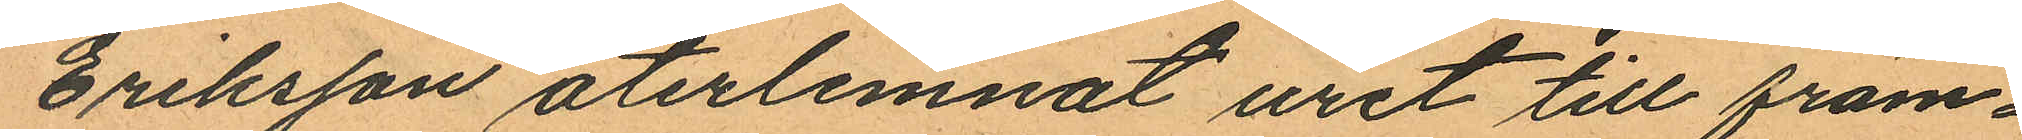Eriksson återlemnat uret till främ¬
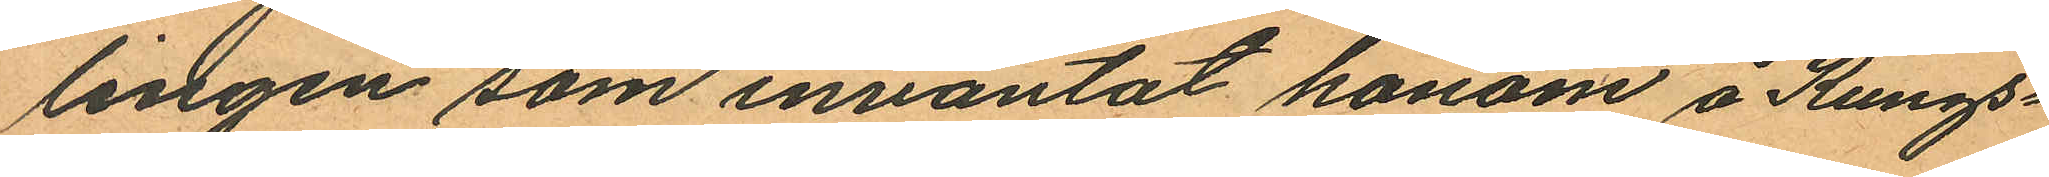lingen som inväntat honom å Kungs¬
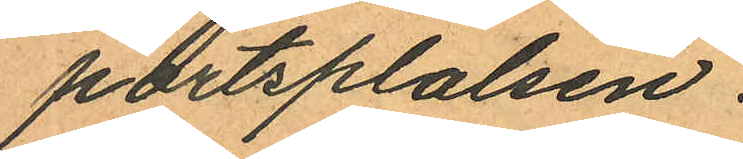portsplatsen.
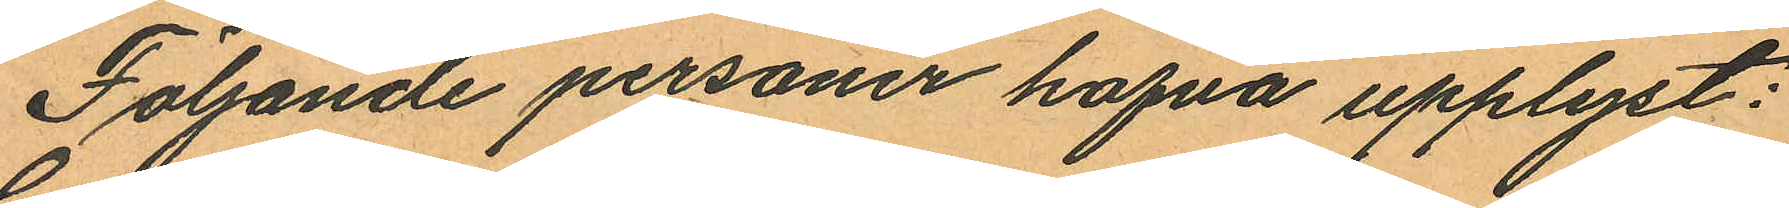Följande personer hafva upplyst:
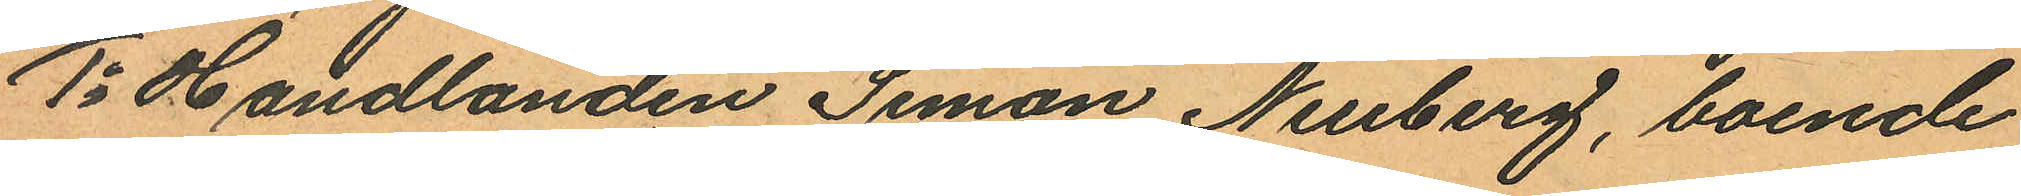1o Handlanden Simon Neuberg, boende
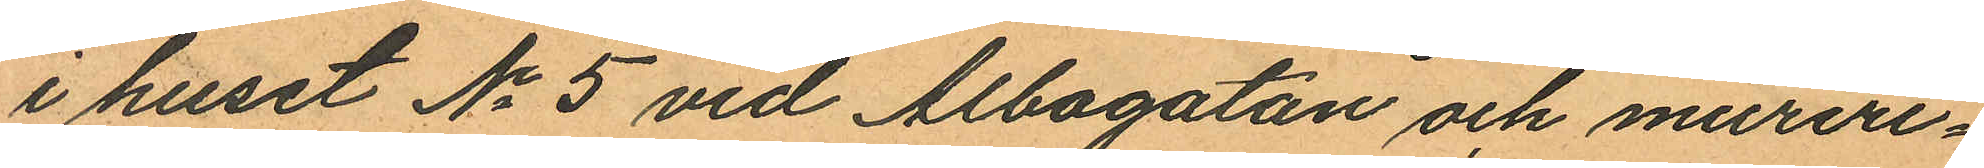i huset No 5 vid Albogatan och mureri¬
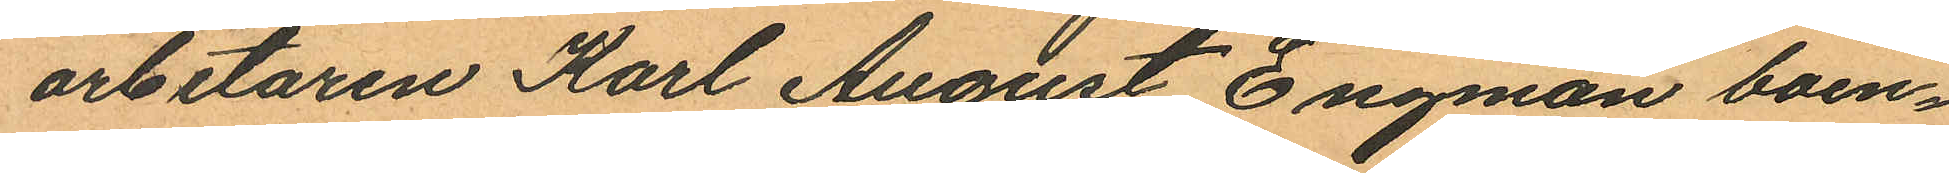arbetaren Karl August Engman boen¬
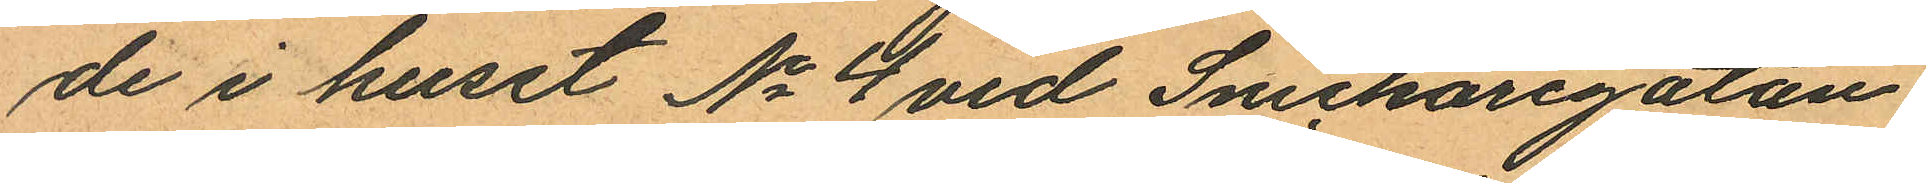de i huset No 4 vid Snickaregatan
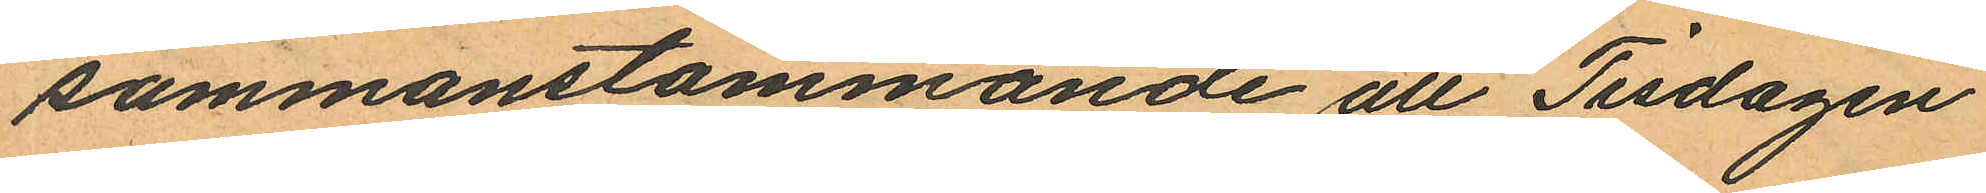sammanstämmande att Tisdagen
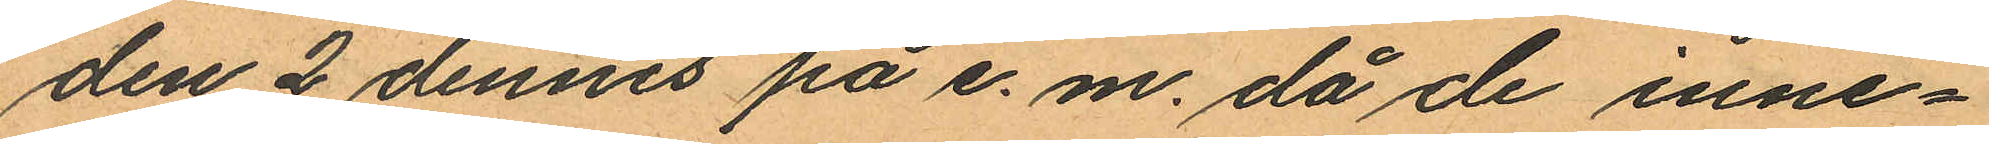den 2 dennes på e. m. då de inne¬
